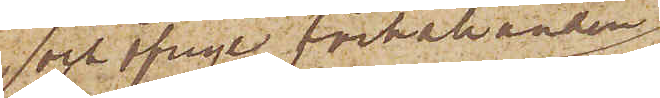och öfrige förhållanden
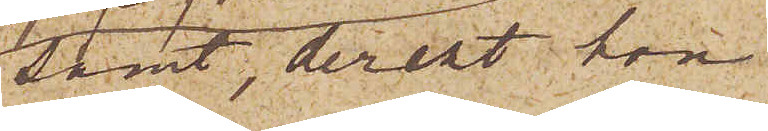samt, derest hon
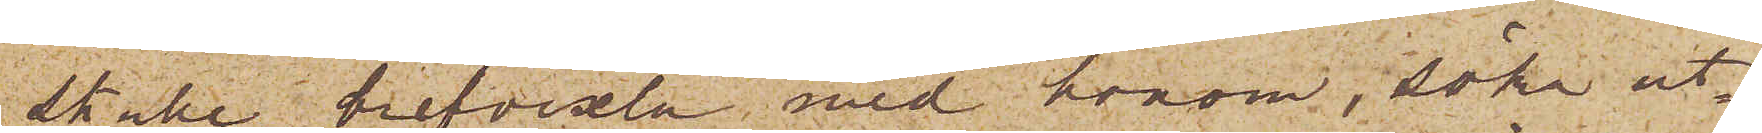skulle brefvexla med honom, söka ut¬
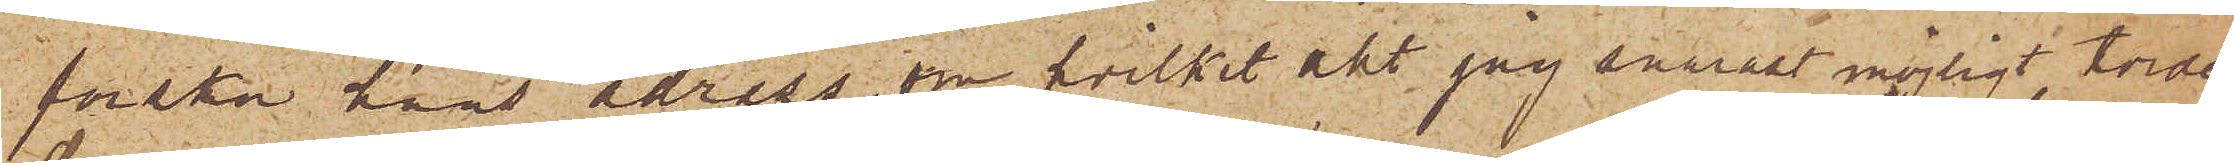forska hans adress, om hvilket allt jag snarast möjligt torde
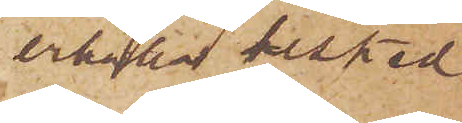erhålla besked
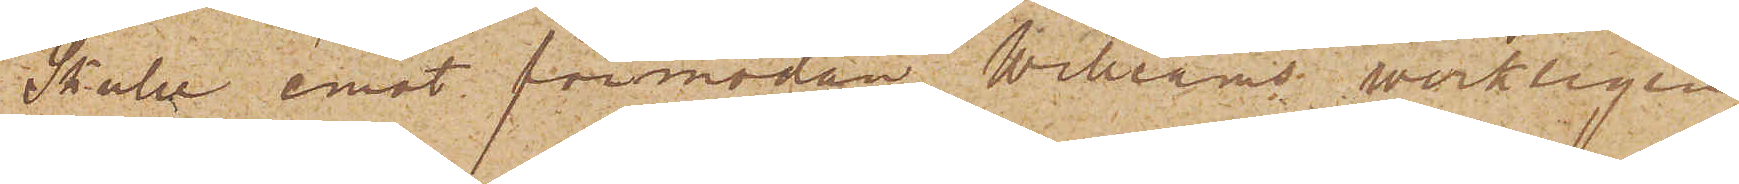Skulle emot förmodan Williams werkligen
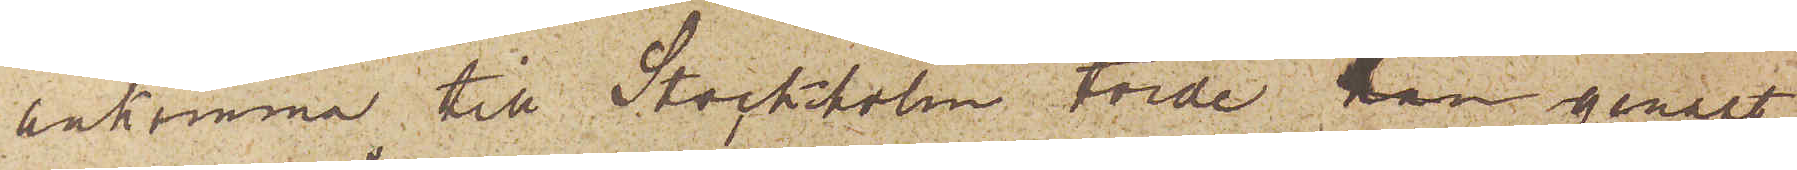ankomma till Stockholm torde han genast
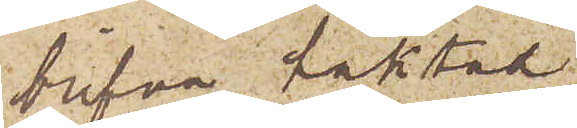blifva häktad.
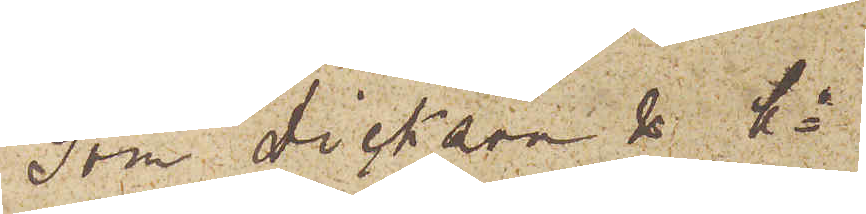Som Dickson & Co
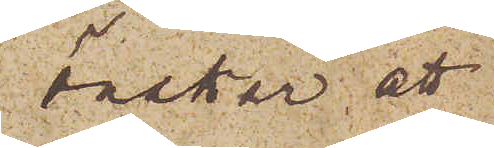önskar att
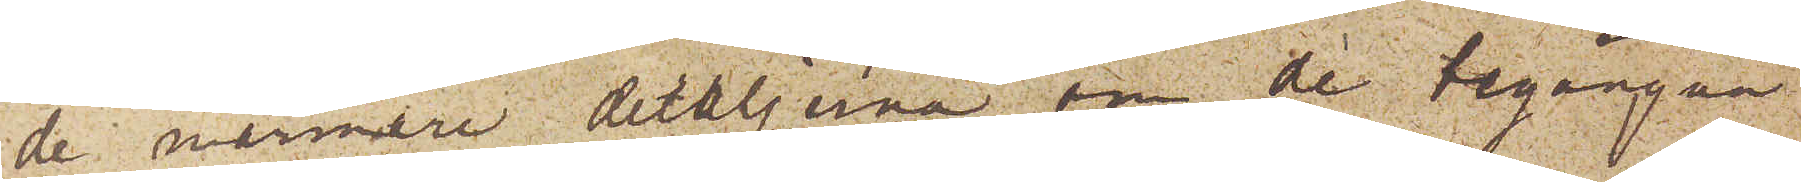de närmare detaljerna om de begångna
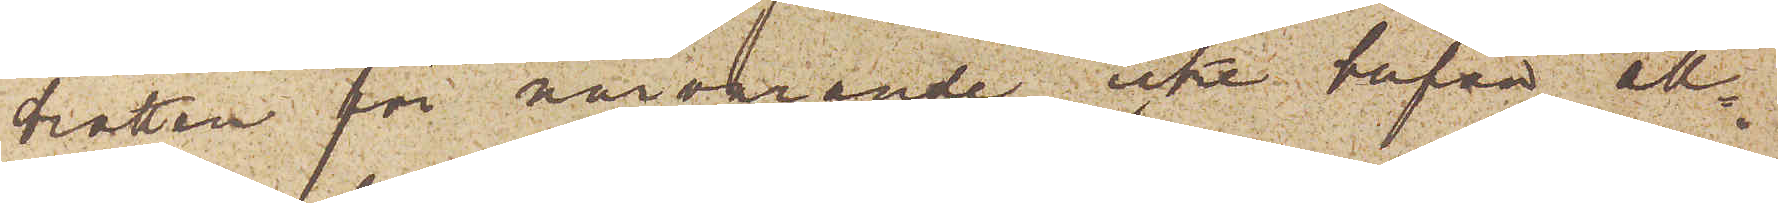brotten för närvarande icke blifva all¬
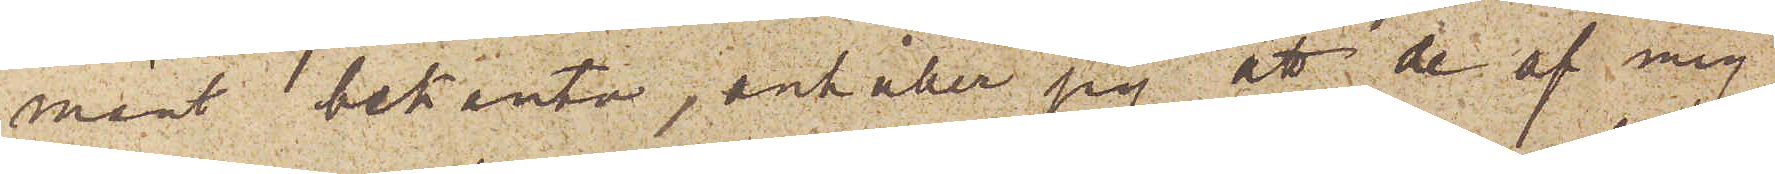 mänt bekanta, anhåller jag att de af mig
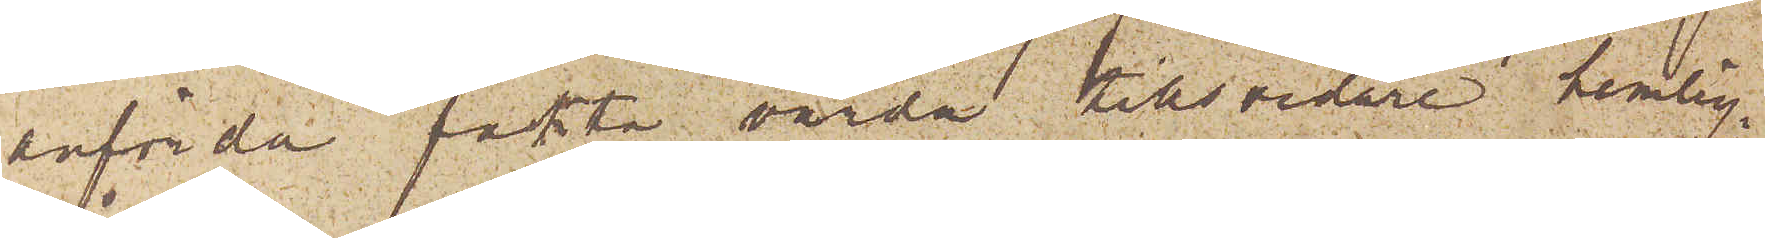anförda fakta varda tillsvidare hemlig¬
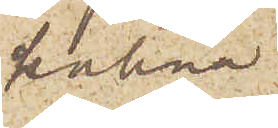hållna.
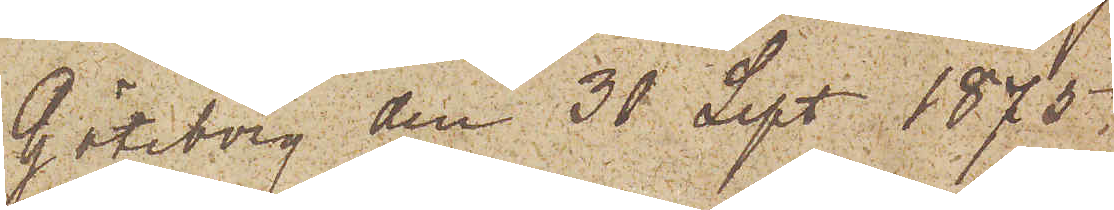Göteborg den 30 Sept. 1875.
